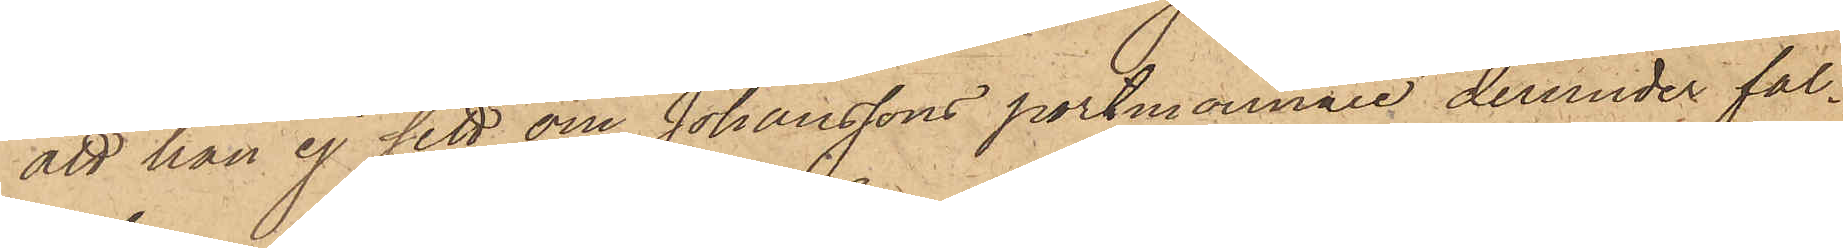att han ej sett om Johanssons portmonnaie derunder fal¬
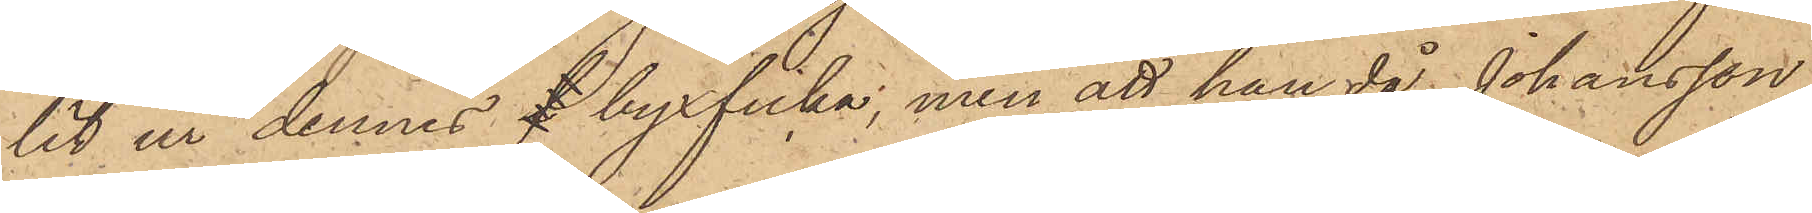lit ur dennes f byxficka, men att han då Johansson
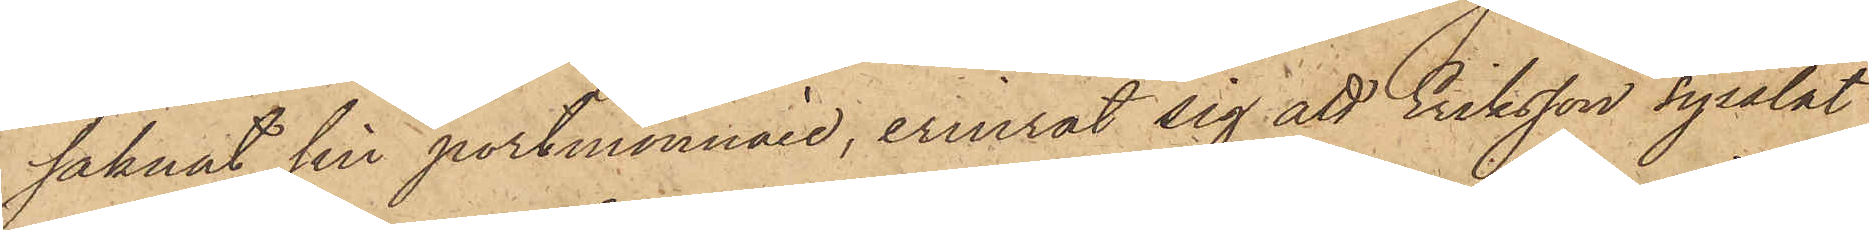saknat sin portmonnaie, erinrat sig att Eriksson sysslat
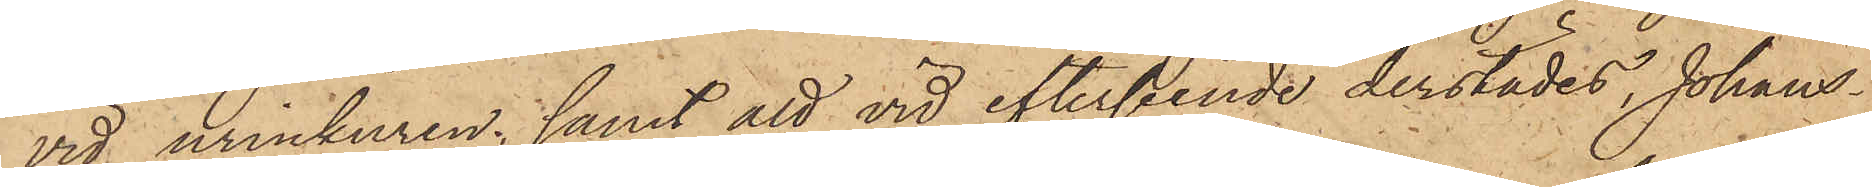vid urinkuren; samt att vid efterseende derstädes, Johans¬
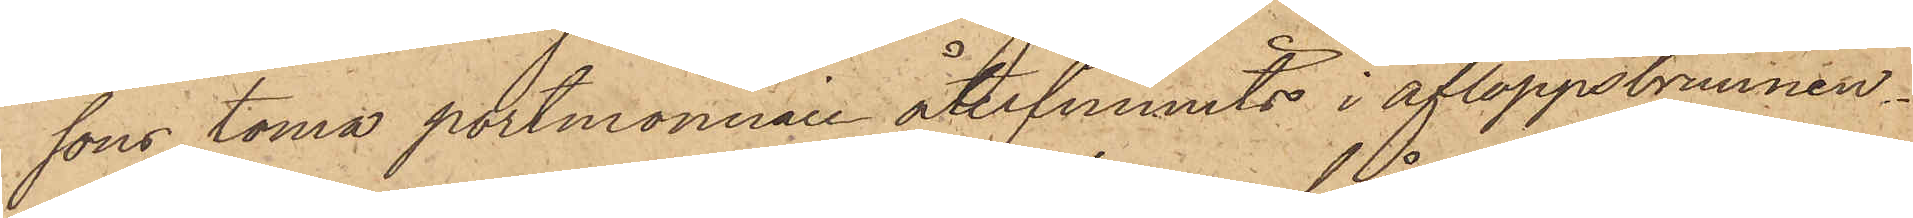sons tomma portmonnaie återfunnits i afloppsbrunnen.
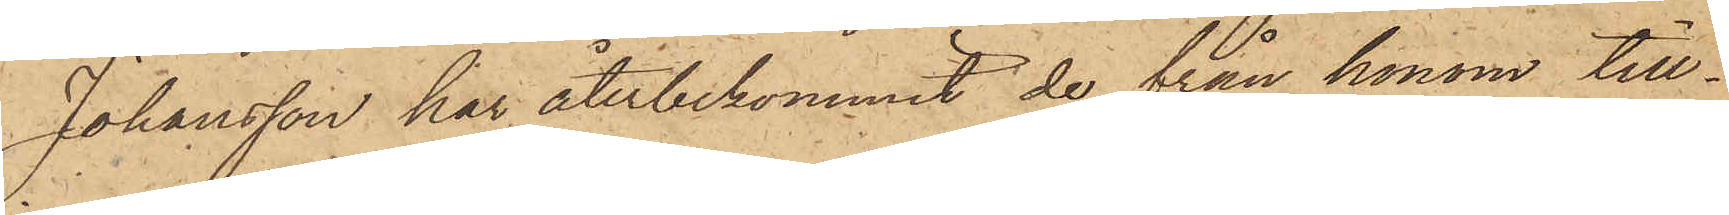Johansson har återbekommit de från honom till¬
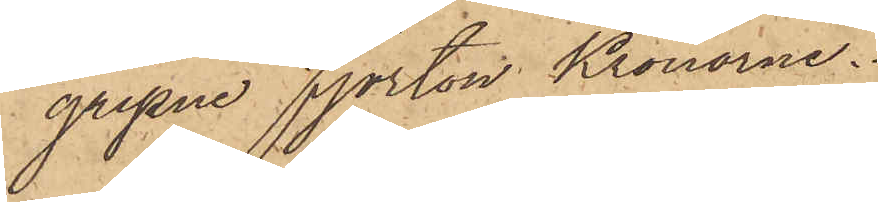gripne fjorton Kronorne.
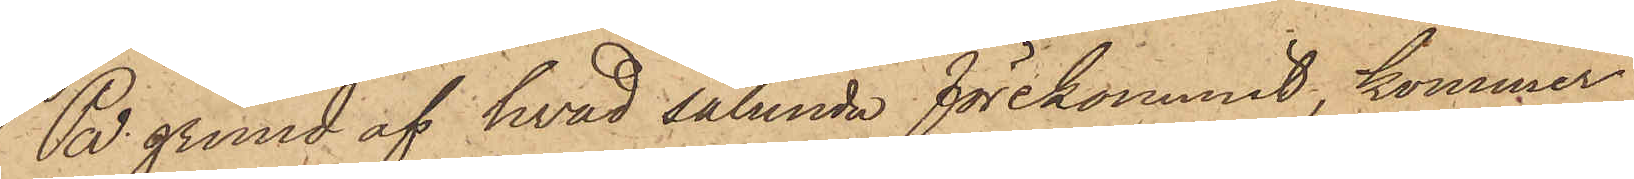På grund af hvad sålunda förekommit, kommer
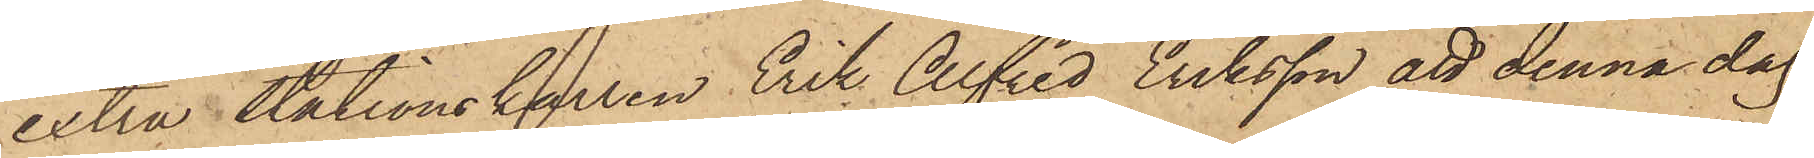extra stationskarlen Erik Alfred Eriksson att denna dag
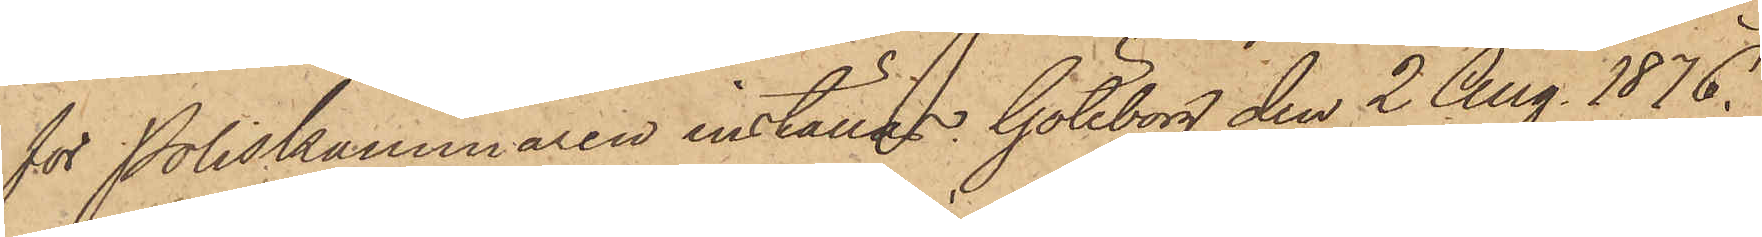för Poliskammaren inställas. Göteborg den 2 Aug. 1876.
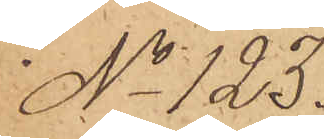No 123.
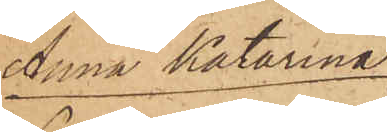Anna Katarina
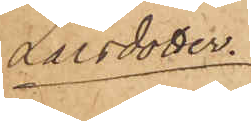Larsdotter.
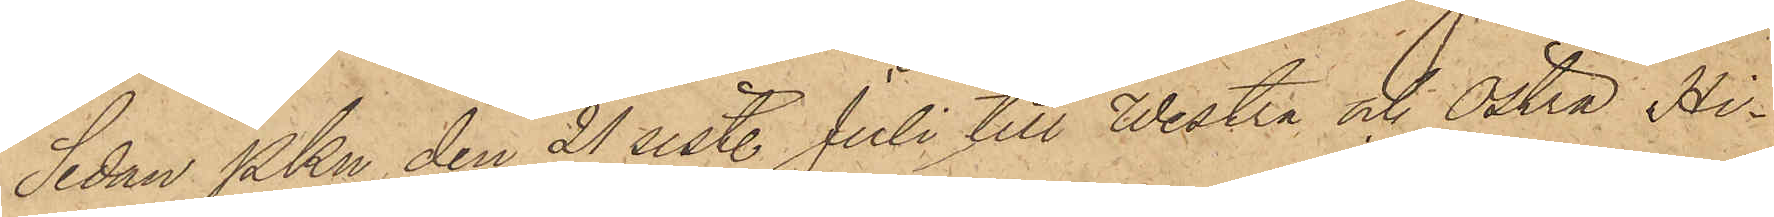Sedan Pkn den 21 sist. Juli till Westra och Östra Hi¬
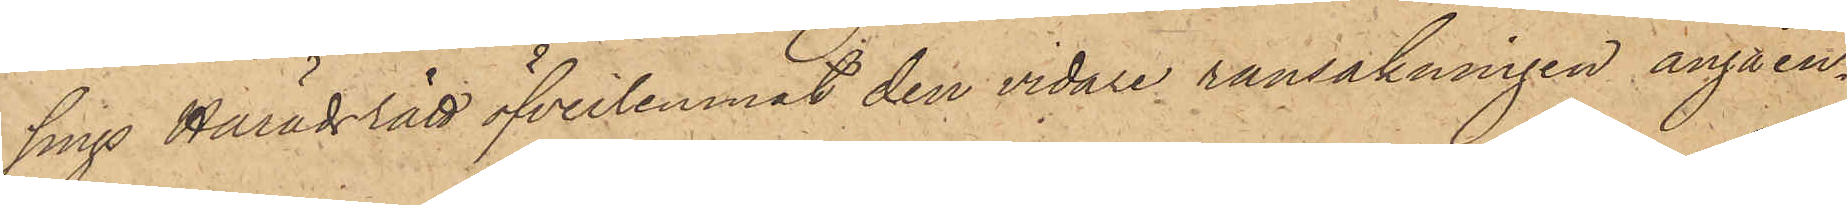sings Häradsrätt öfverlemnat den vidare ransakningen angåen¬
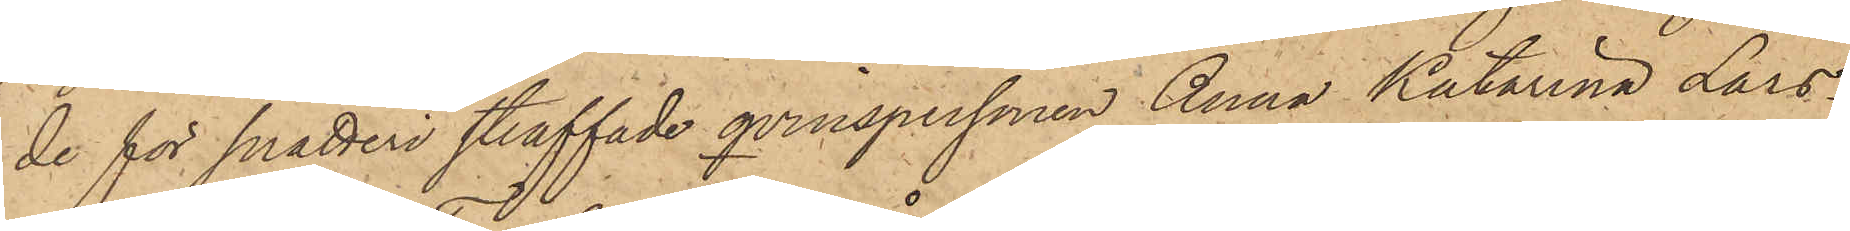de för snatteri straffade qvinspersonen Anna Katarina Lars¬
